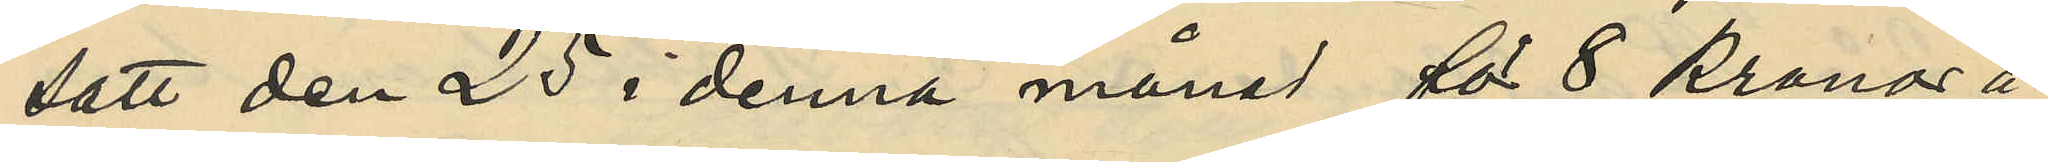satt den 25 i denna månad för 8 kronor å
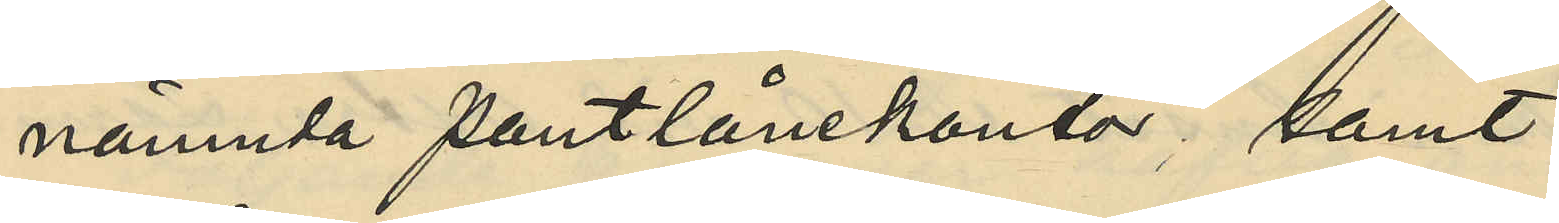nämnda pantlånekontor; samt
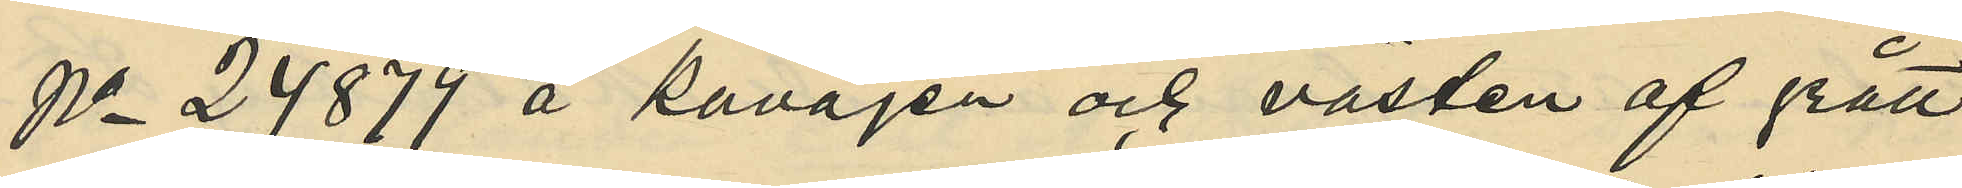No 24879 å kavajen och västen af grått
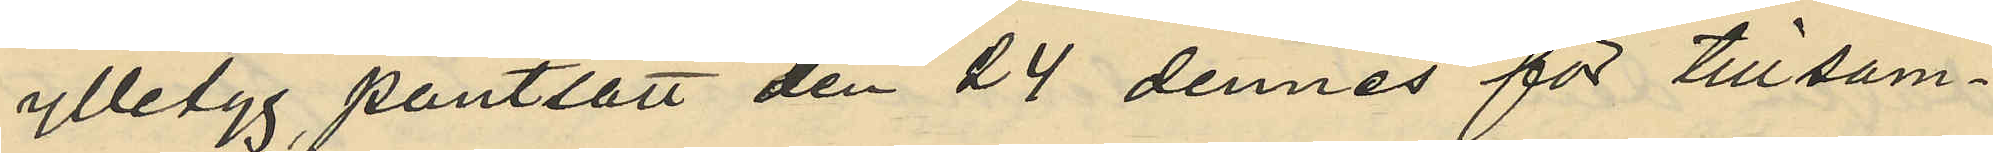ylletyg pantsatt den 24 dennes för tillsam¬
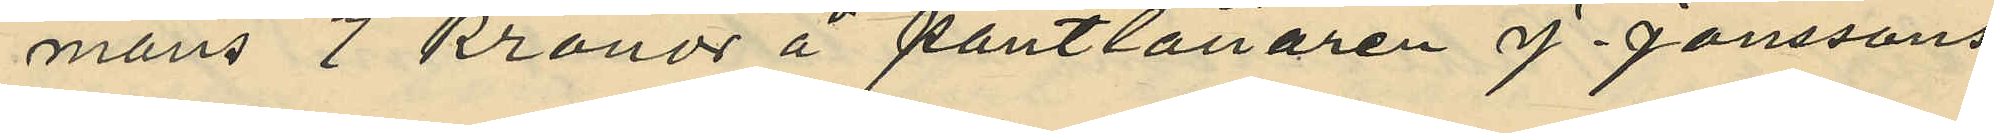mans 7 kronor å pantlånaren J. Janssons
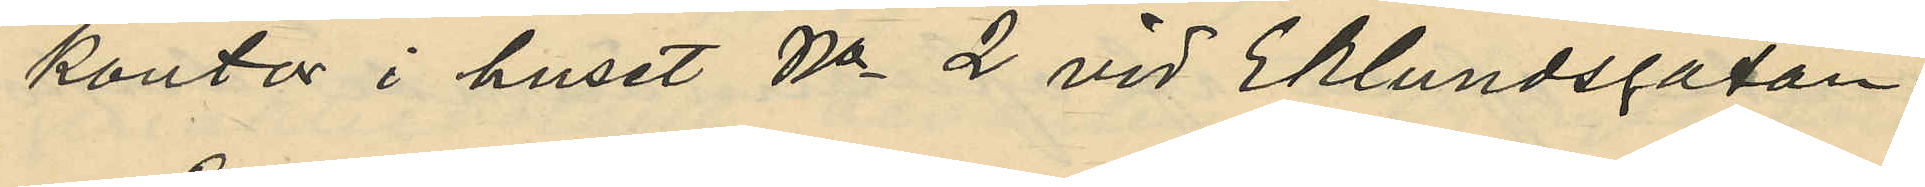kontor i huset No 2 vid Eklundsgatan.
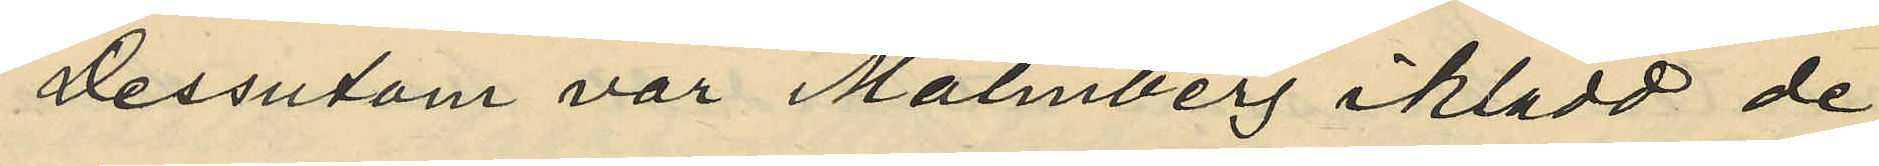Dessutom var Malmberg iklädd de
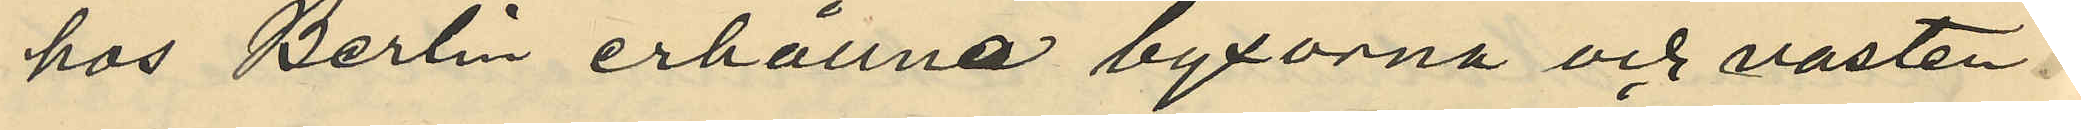hos Berlin erhållna byxorna och västen
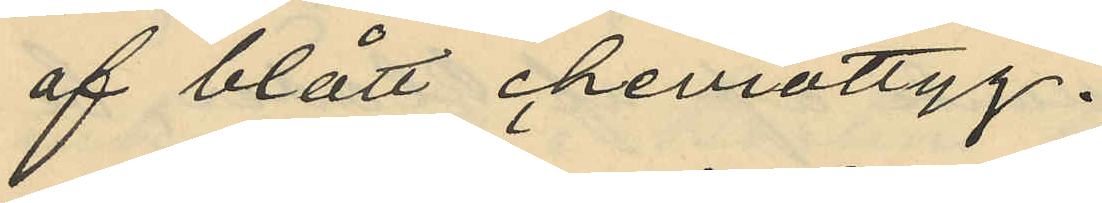af blått cheviottyg.
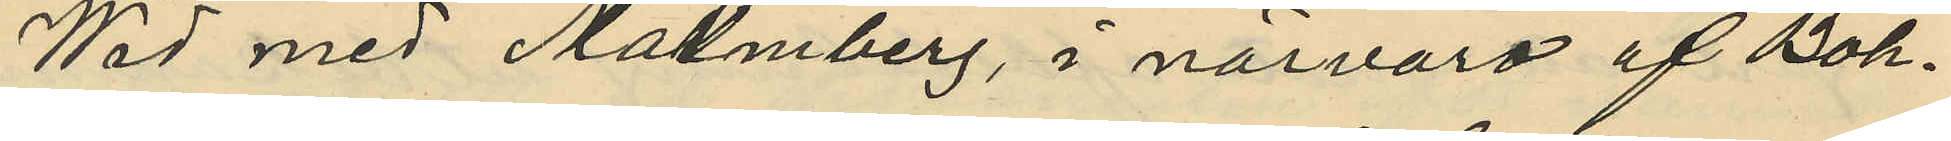Wid med Malmberg, i närvaro af Boh¬
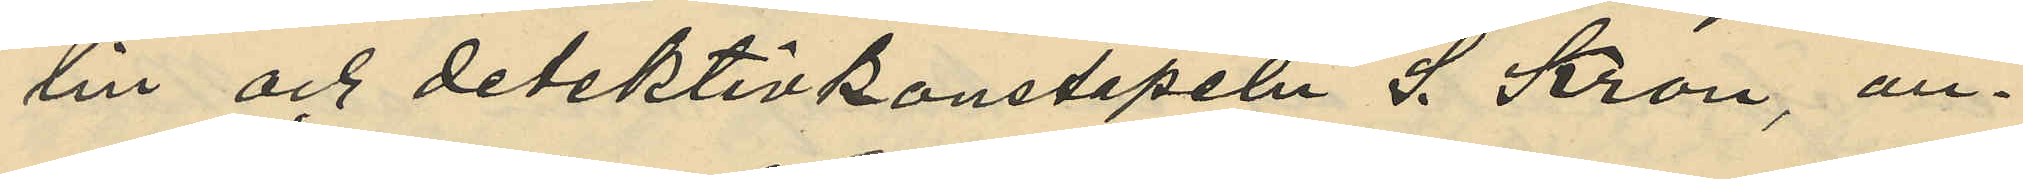lin och detektivkonstapeln S. Kron, an¬
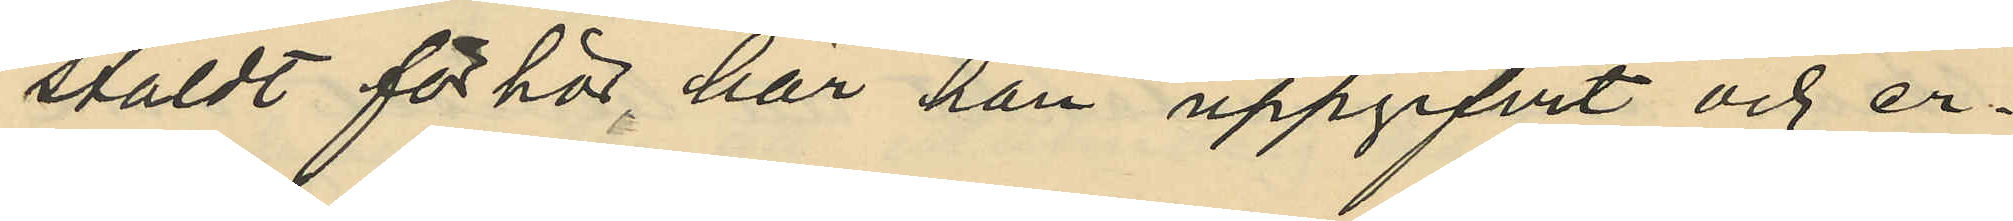stäldt förhör har han uppgifvit och er¬
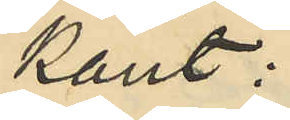känt:
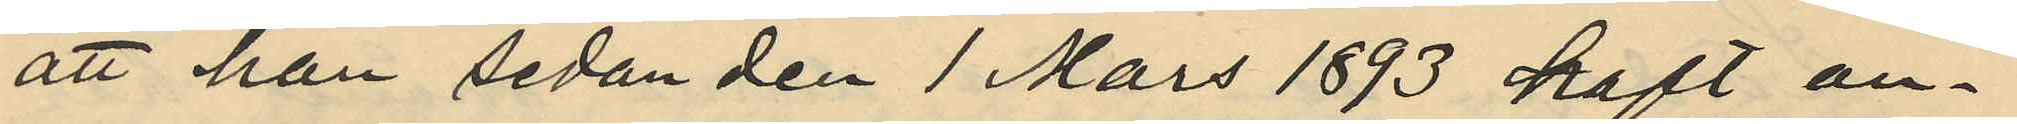att han sedan den 1 Mars 1893 haft an¬
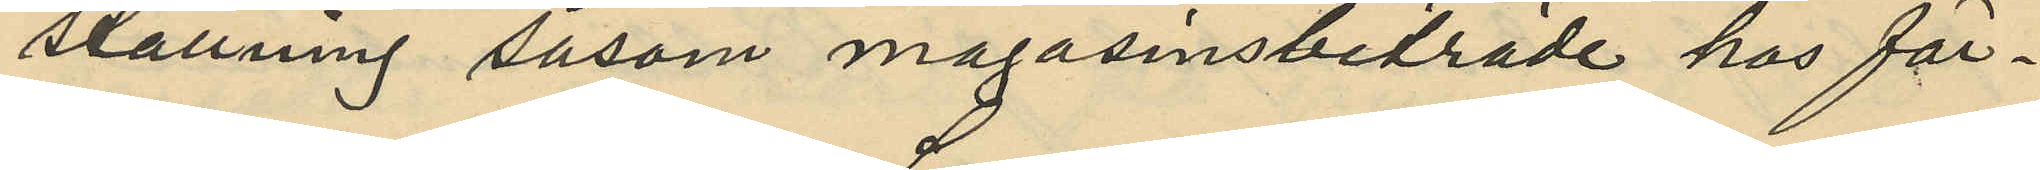ställning såsom magasinsbiträde hos för¬
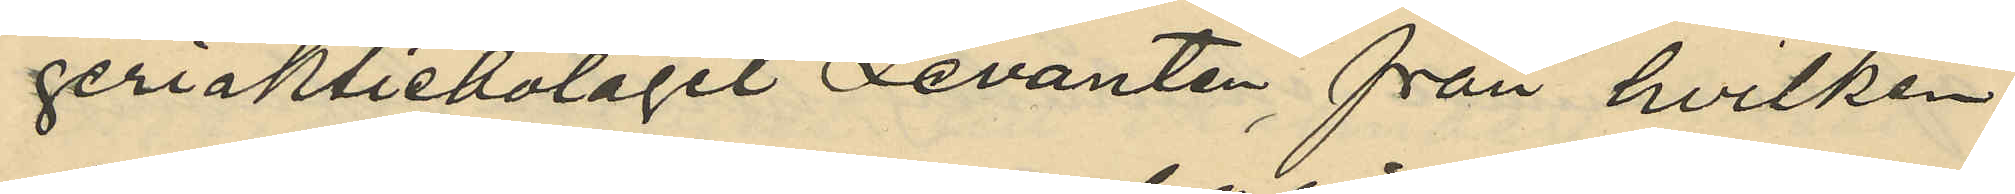geriaktiebolaget Levanten, från hvilken
